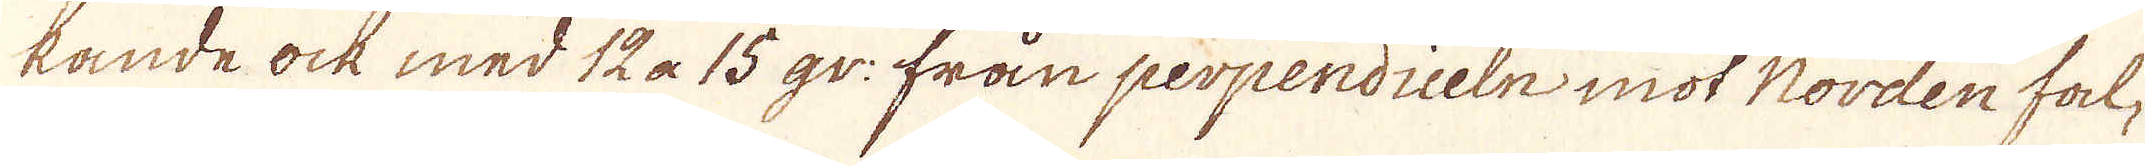kande ock med 12 a 15 gr: från perpendiceln mot Norden fal-
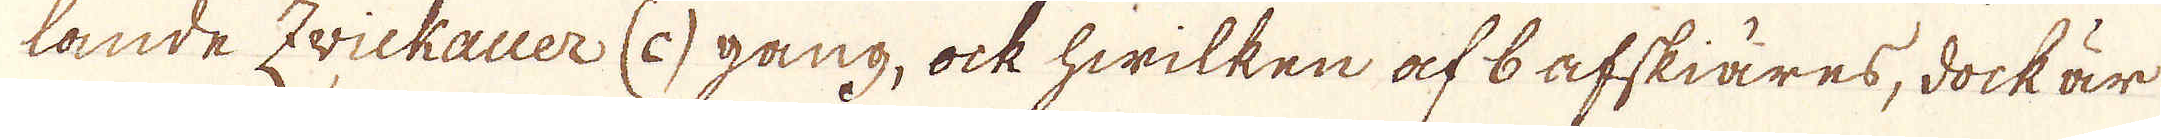lande Zvickauer (c) gang, ock hwilken af 6 afskiäres, dock är
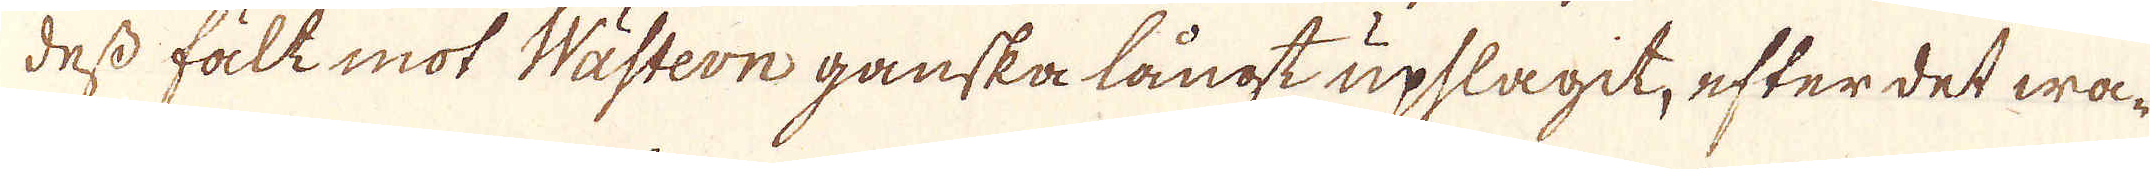dess fält mot Wästern ganska långt upslagit, efter det wa-
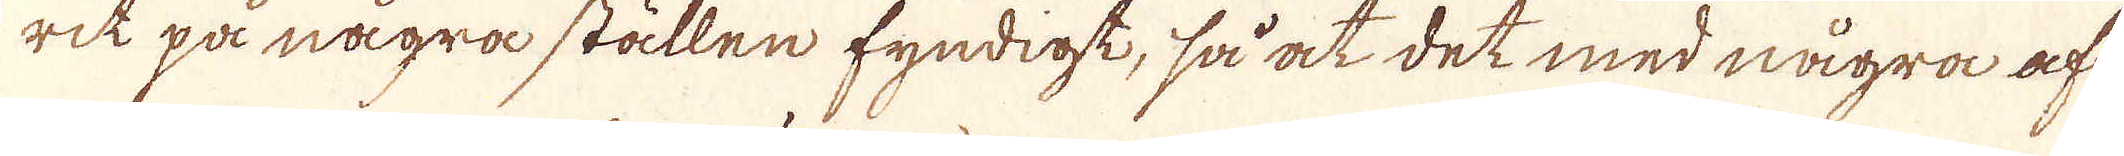rit på några ställen fyndigt, så at det med några af-
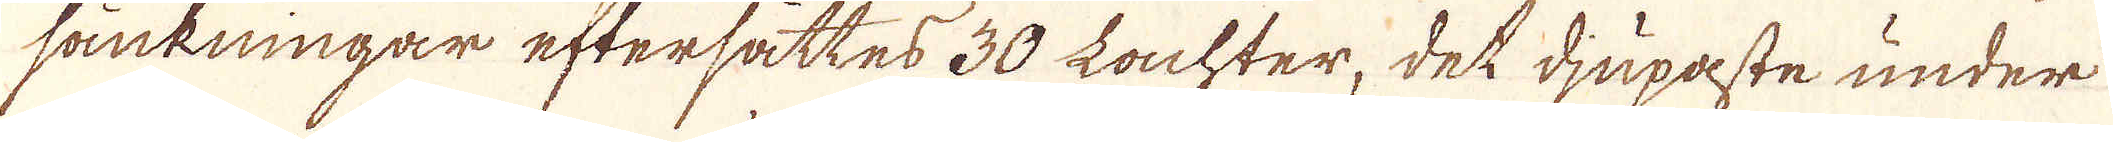sänkningar eftersattes 30 Lachter, det djupaste under
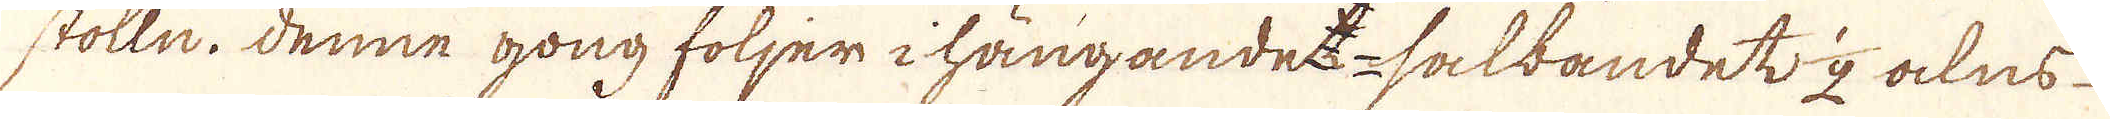stolln. Denne gong följer i hängandet salbandet 1/2 alns
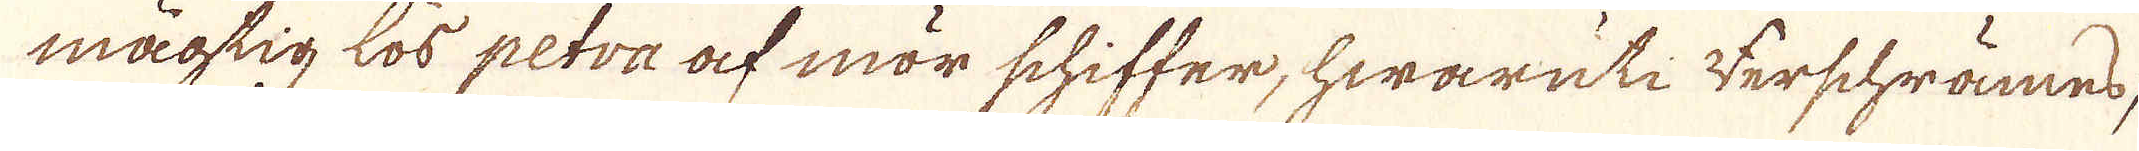mägtig lös petra af mör schiffer, hwaruti werschrämed,
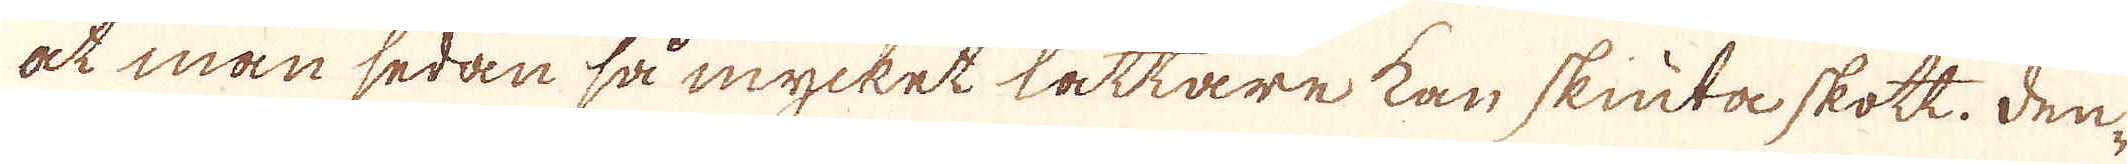at man sedan så mycket lättare kan skiuta skott. Den-
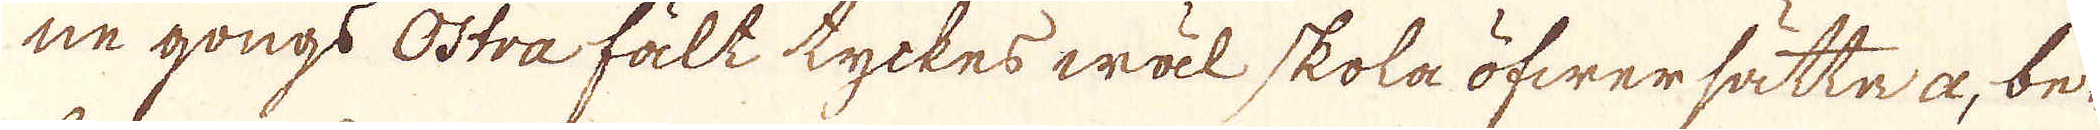ne gongs östra fält tyckes wäl skola öfwersätta a, be-
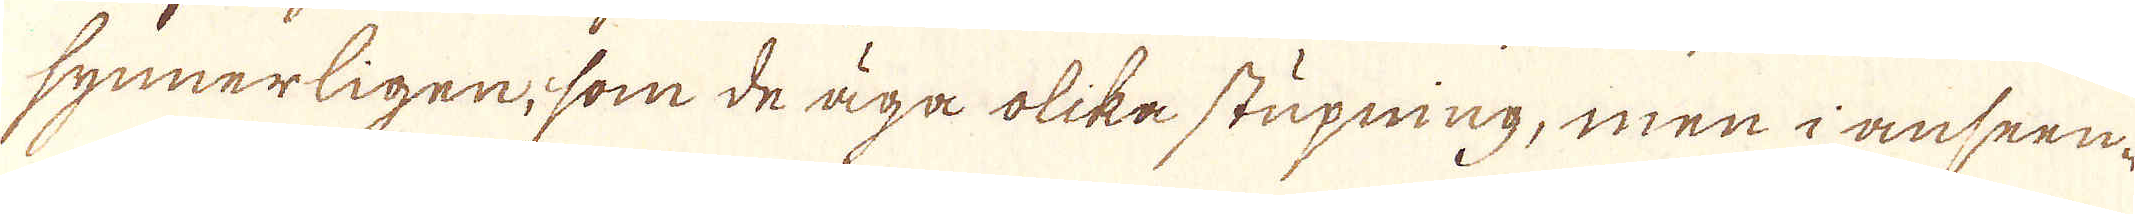synnerligen, som de äga olika stupning, men i anseen-
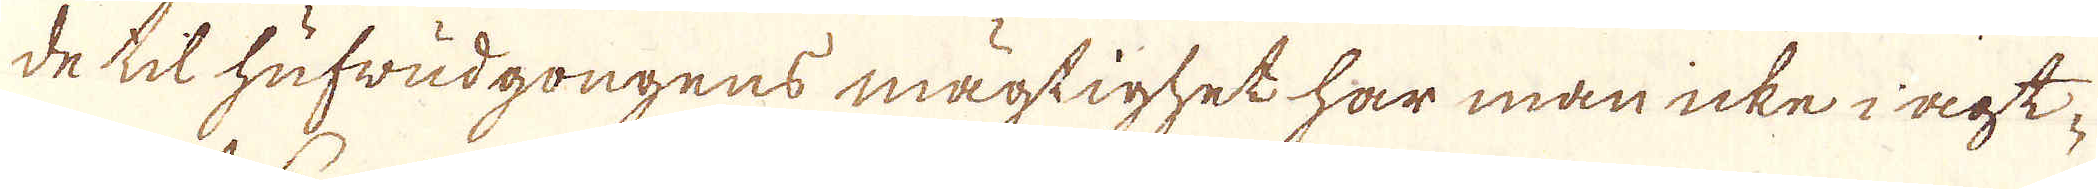de til hufwudgongens mägtighet har man icke i agt-
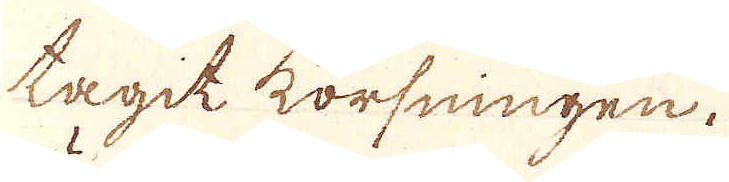tagit korfningen.
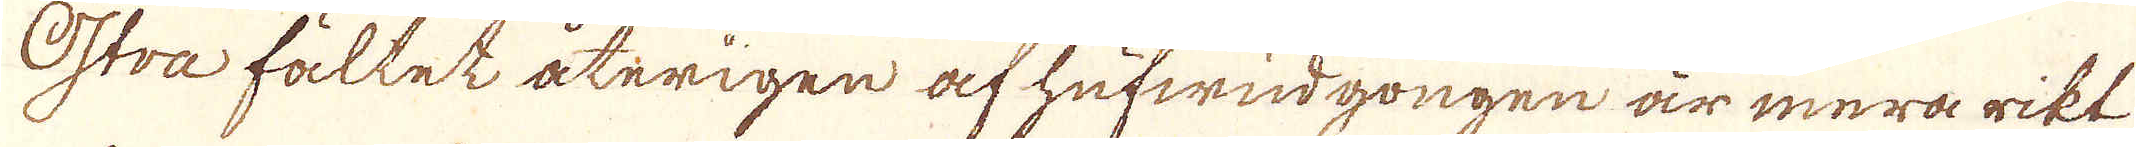Östra fältet återigen af hufwudgongen är mera rikt
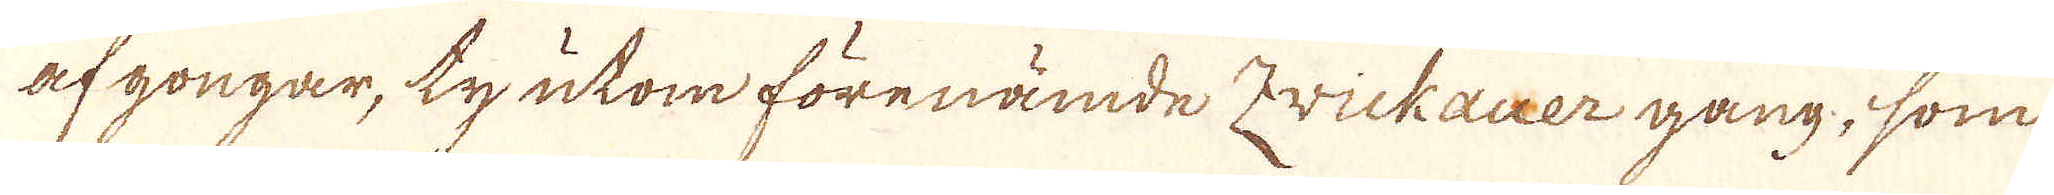af gongar, ty utom förenämde Zvickauer gång, som
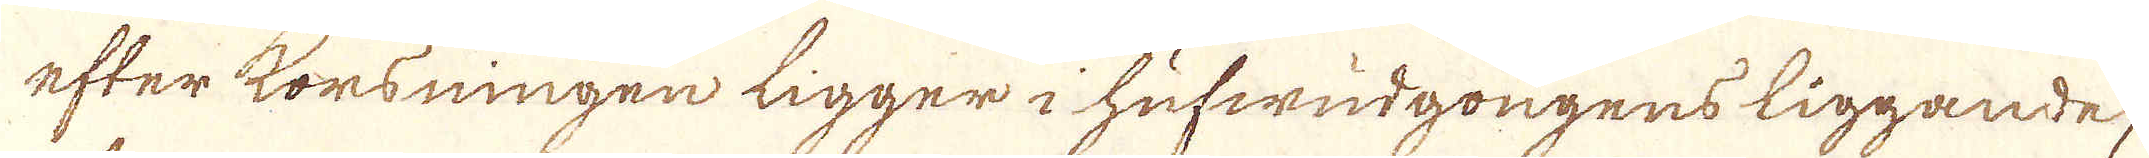efter korsningen ligger i hufwudgongens liggande,
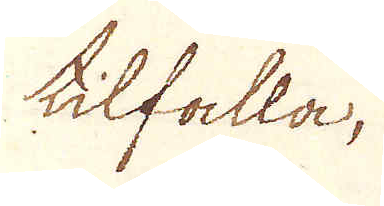tilfalla,
